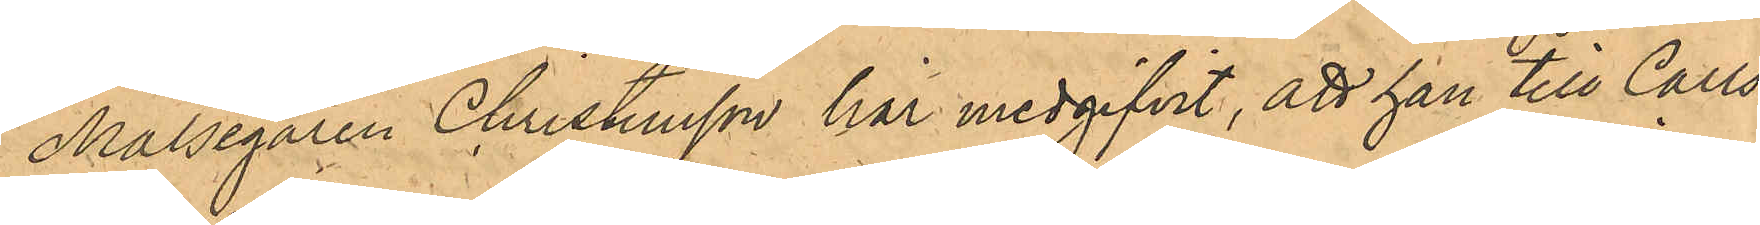Målsegaren Christensson här medgifvit, att han till Carls¬
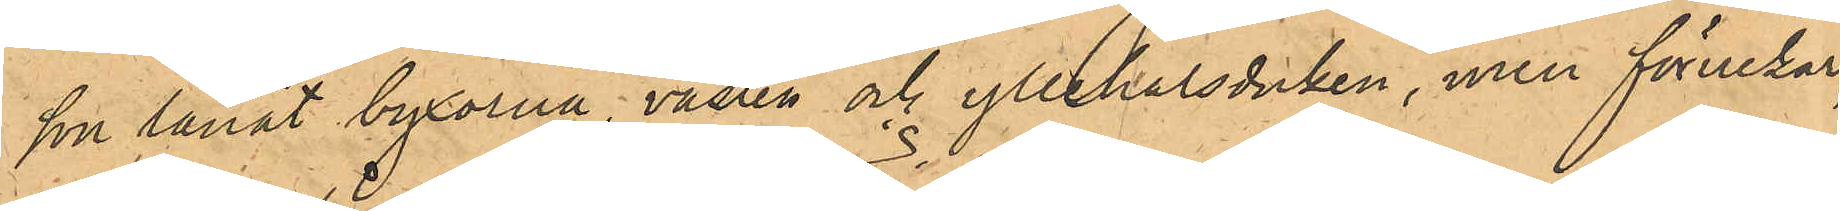son lånat byxorna, västen och yllehalsduken, men förnekar,
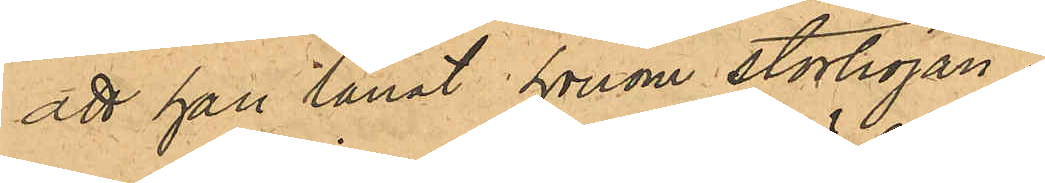att han lånat honom stortröjan.
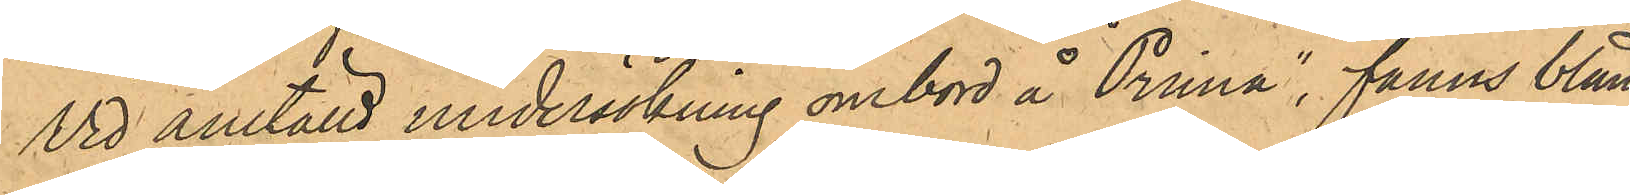Vid anställd undersökning ombord å "Prima", fanns bland
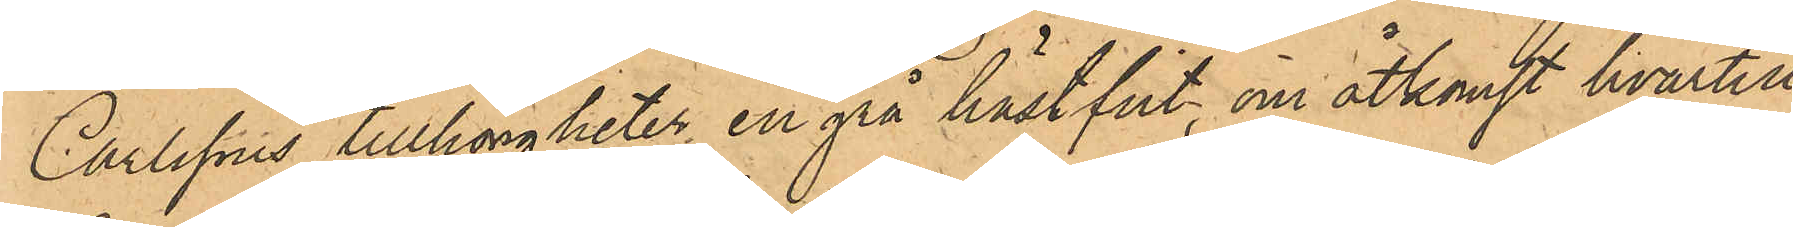Carlssons tillhörigheter en grå hästfilt, om åtkomst hvartill
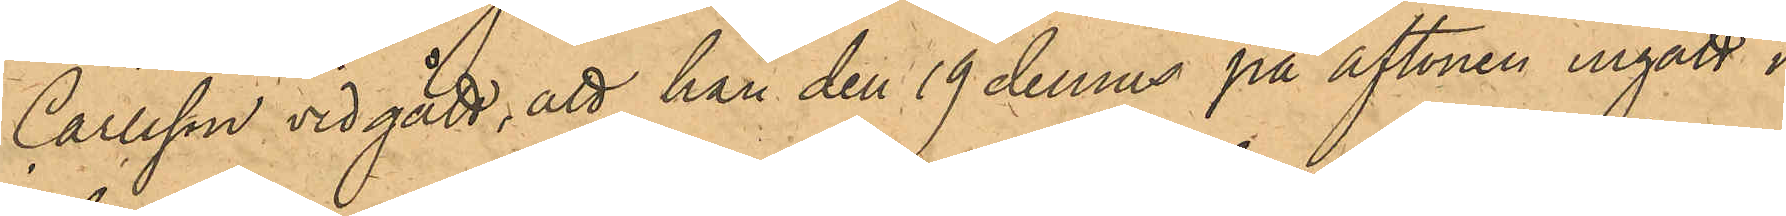Carlsson vidgått, att han den 19 dennes på aftonen ingått i
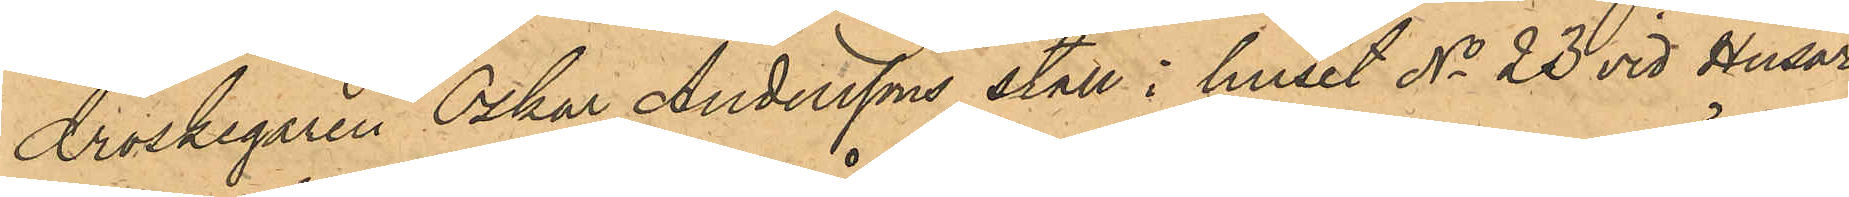Droskegaren Oskar Anderssons stall i huset No 23 vid Husar¬
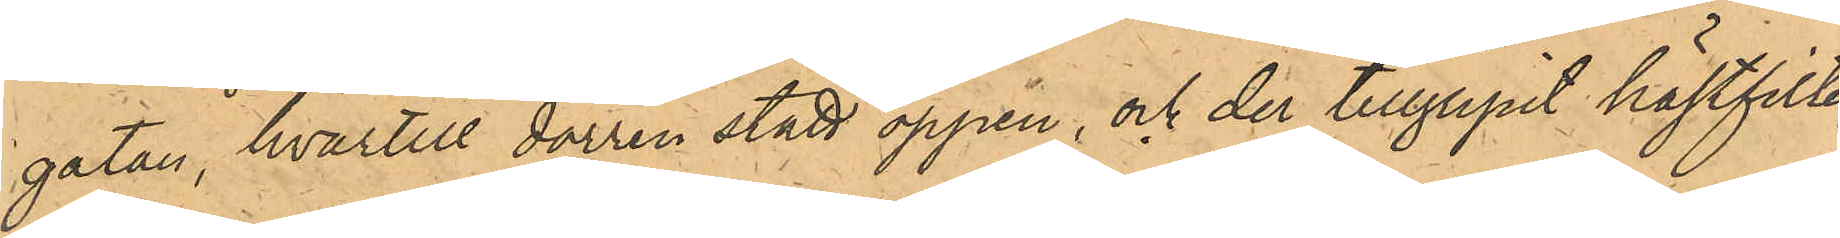gatan, hvartill dörren stått öppen, och der tillgripit hästfilten
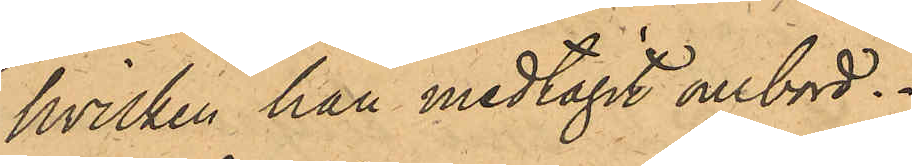hvilken han medtagit ombord.
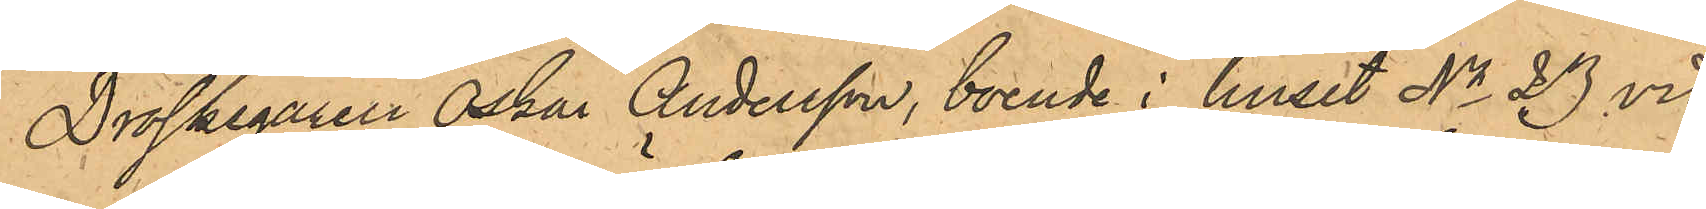Droskegaren Oskar Andersson, boende i huset No 23 vid
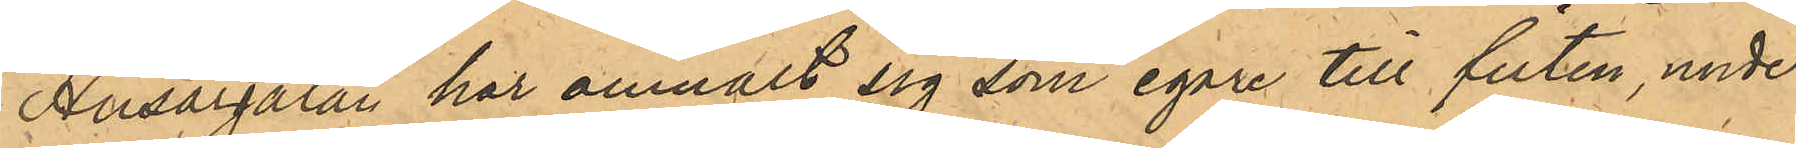Husargatan har anmält sig som egare till filten, under
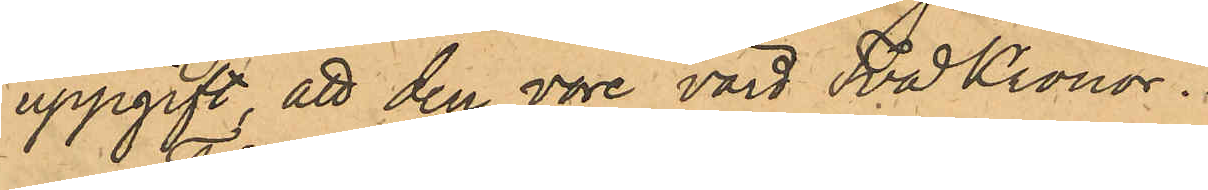uppgift, att den vore värd Två Kronor.
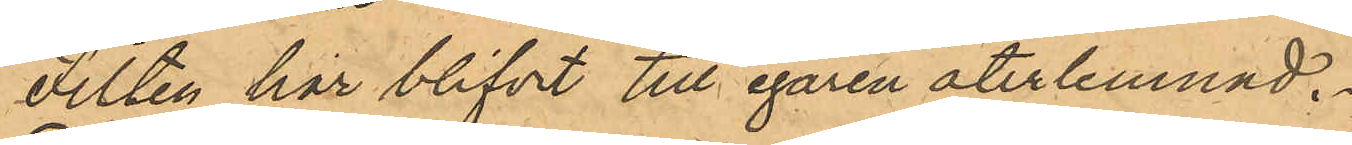Filten har blifvit till egaren återlemnad.
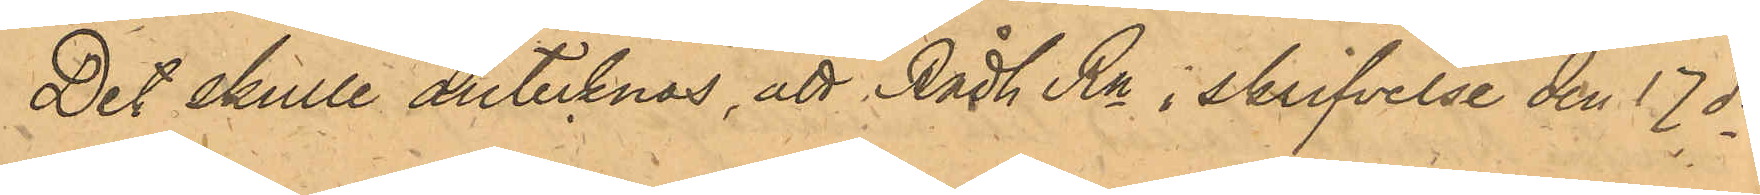Det skulle antecknas, att Rådh Rn i skrifvelse den 17 ds
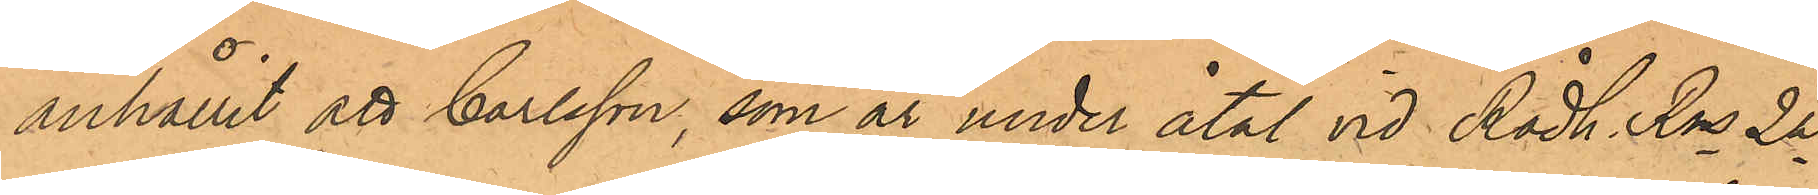anhållit att Carlsson, som är under åtal vid Rådh. Rns 2a
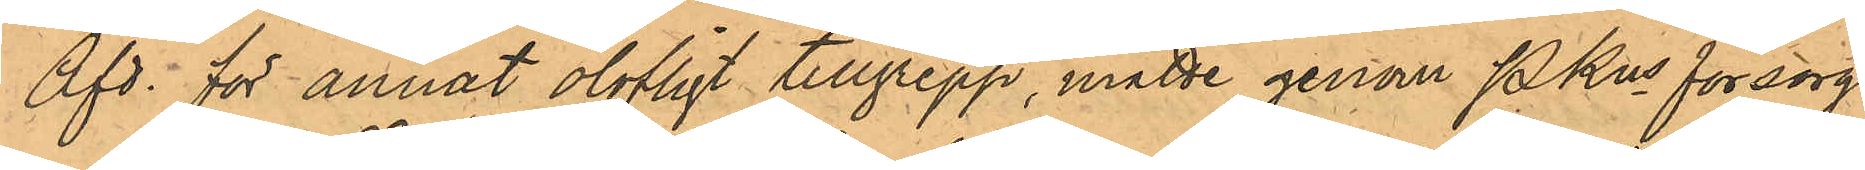Afd. för annat olofligt tillgrepp, måtte genom Pkns försorg
